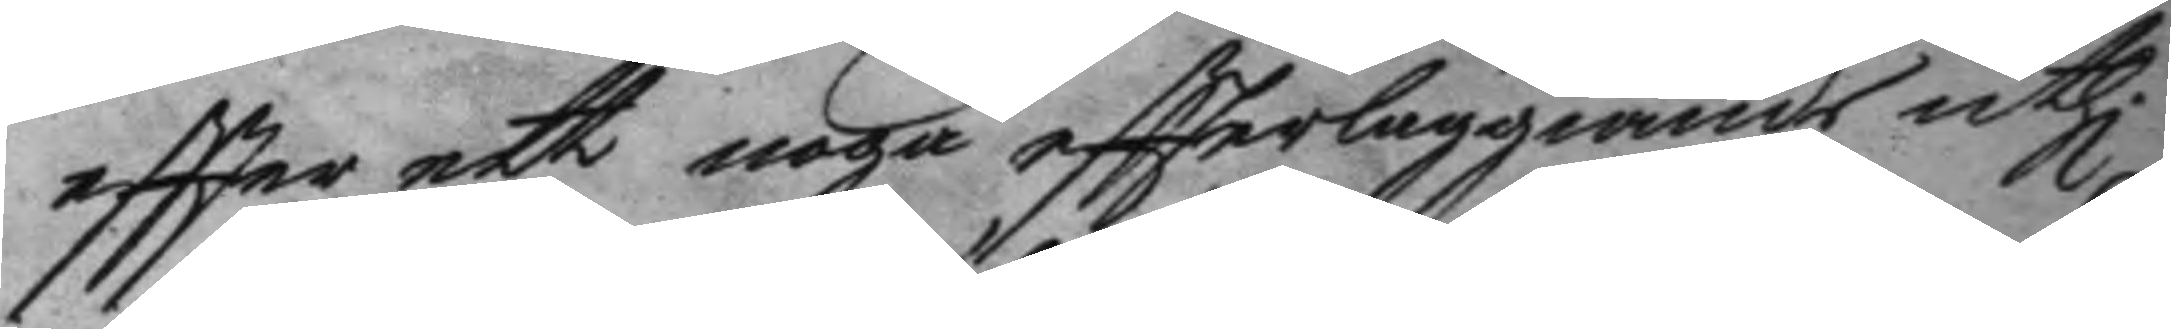eftter ett noga eftterläggiande uthi
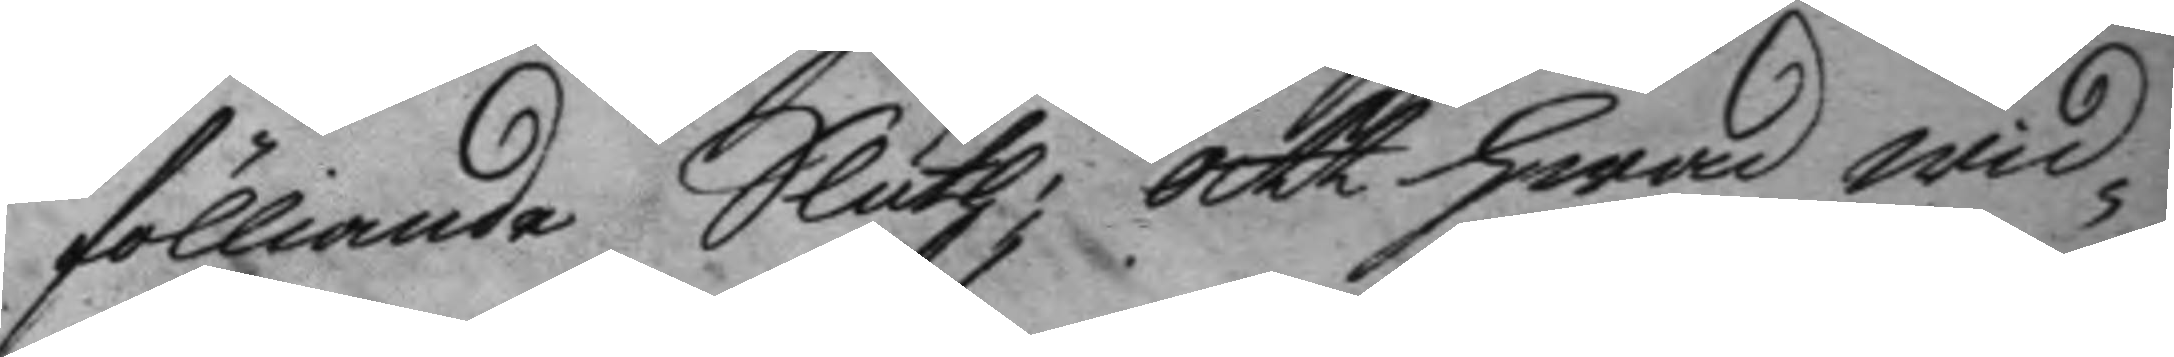fölliande Sluth; att hwad wid¬
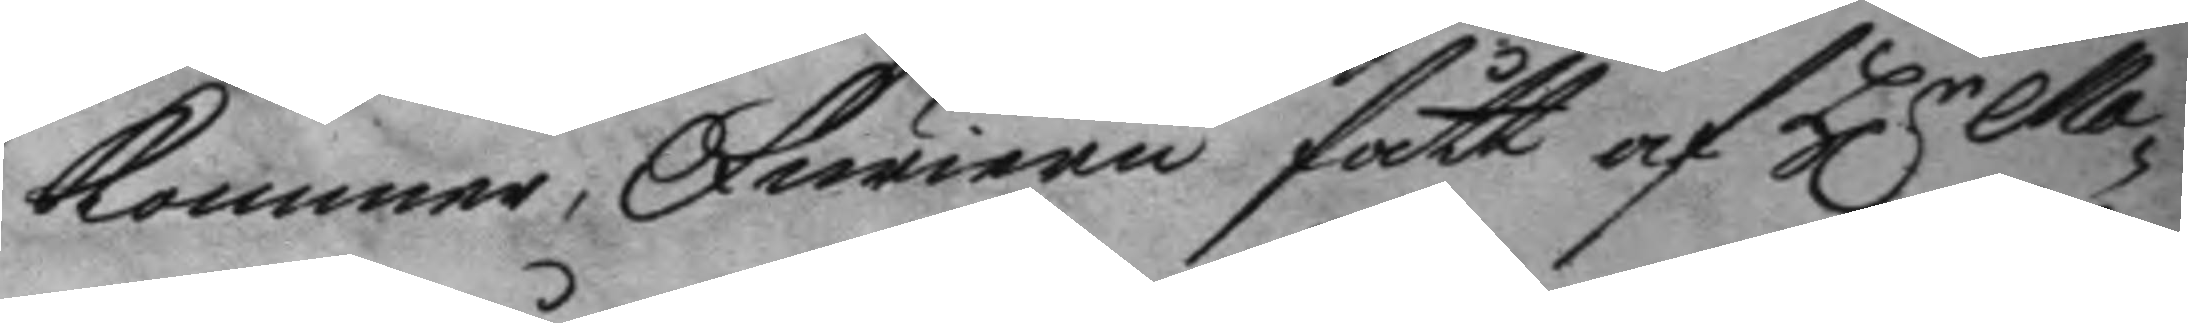kommer, Furiren fått af H.r Ma¬ 
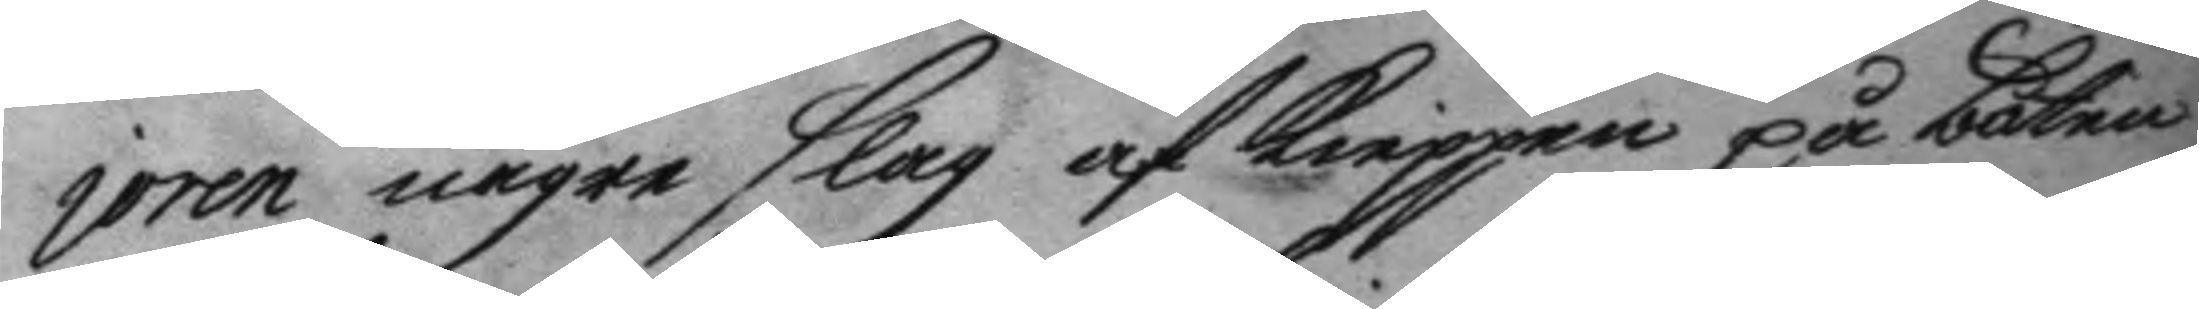joren någre slag af kieppen på båten
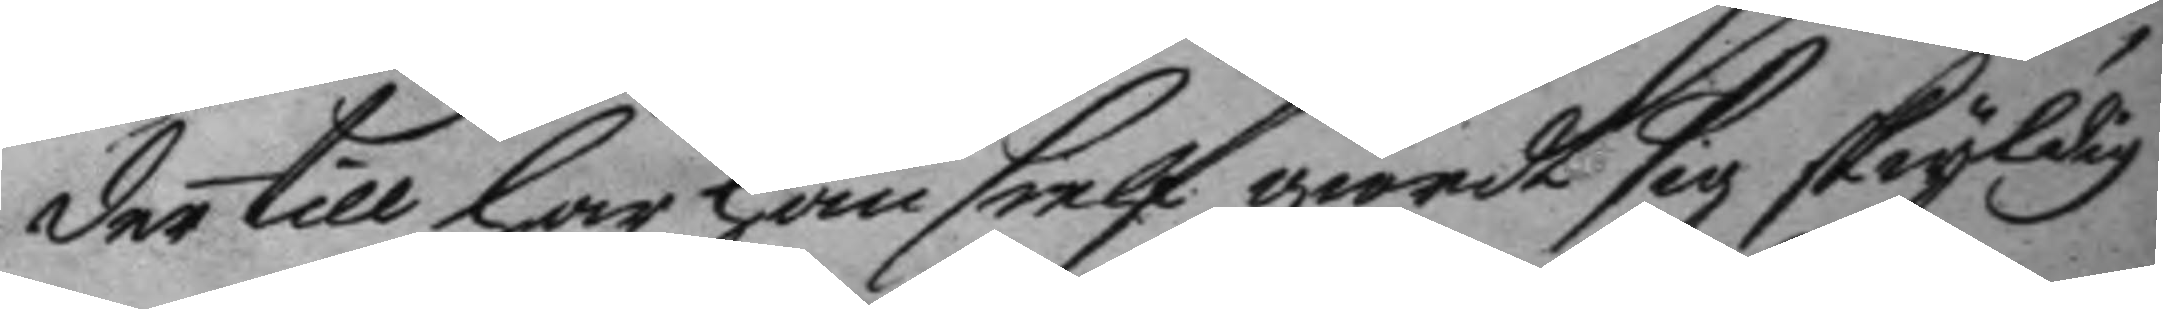der till har han sielf giordt sig skyldig
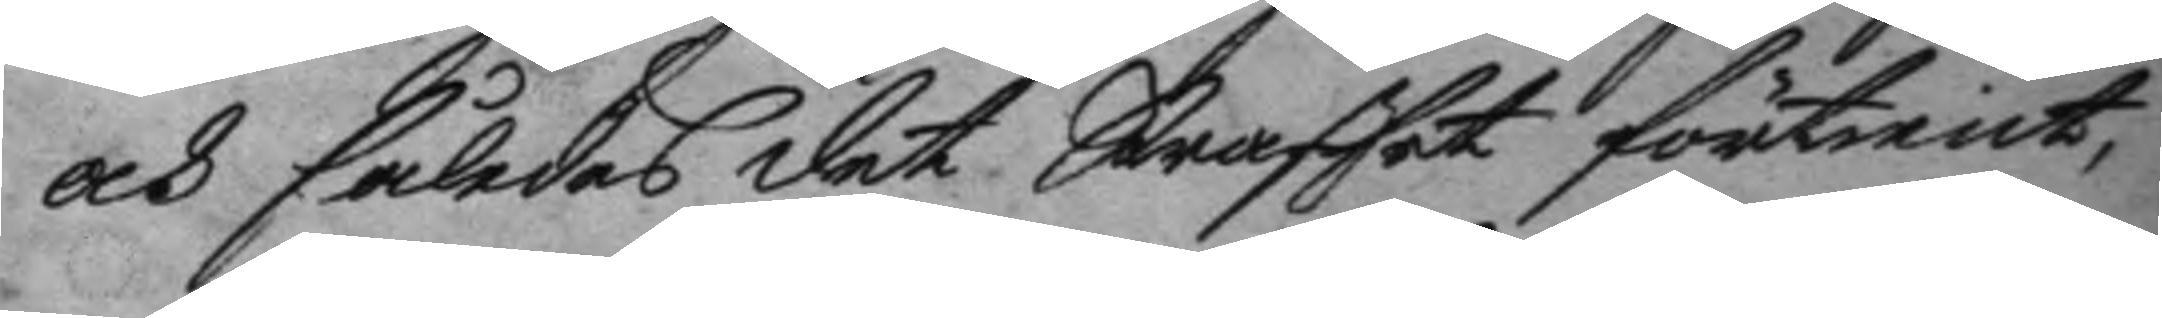och således det Straffet förtient,
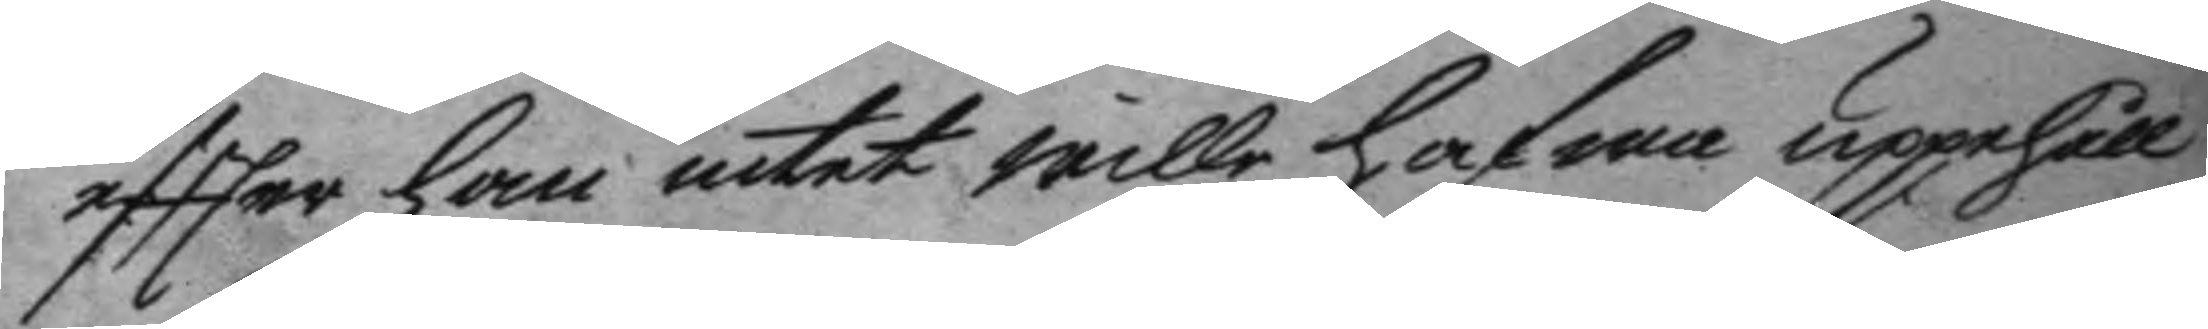effter han intet wille hafwa uppehåll
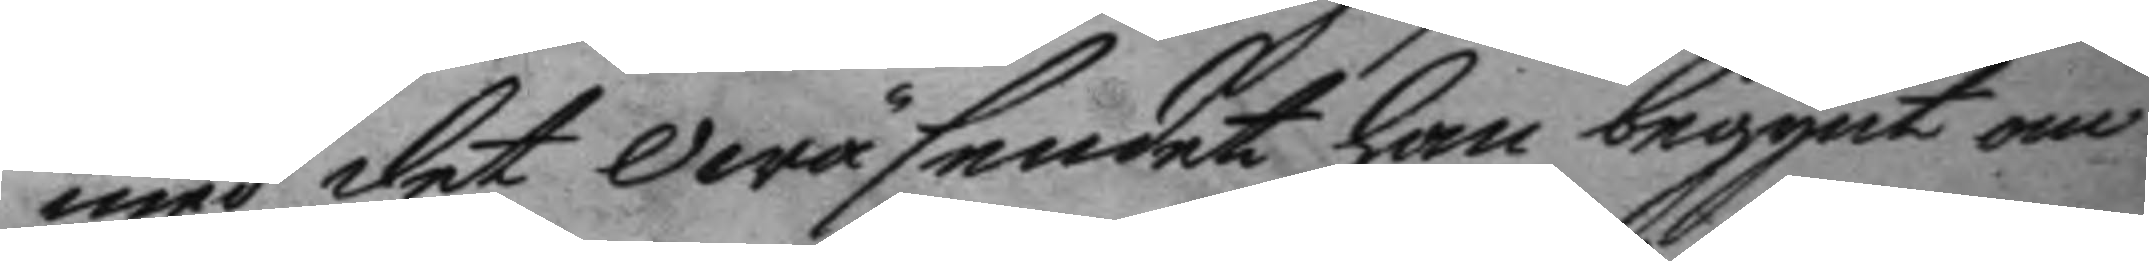med det Owäsendet han begynt om
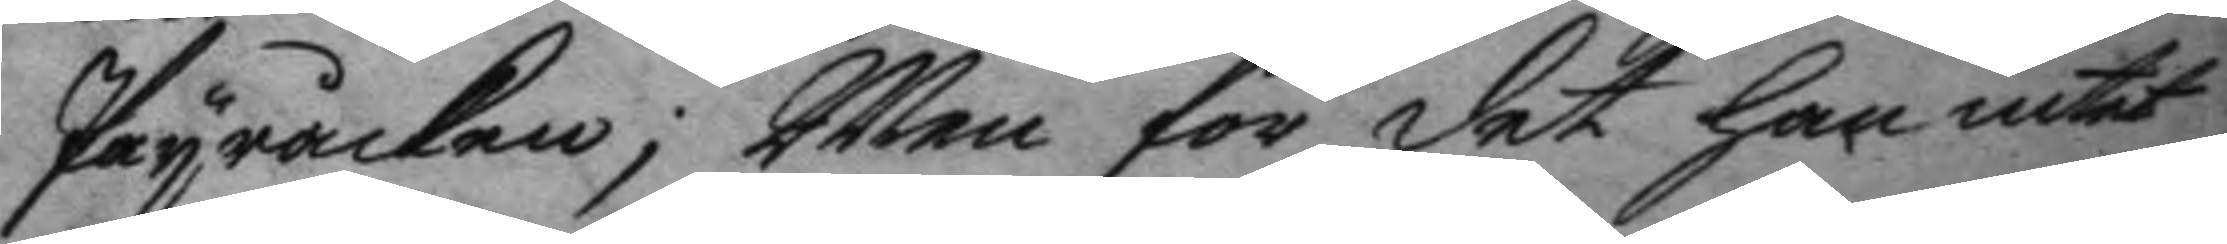Payråcken; Men för det han intet
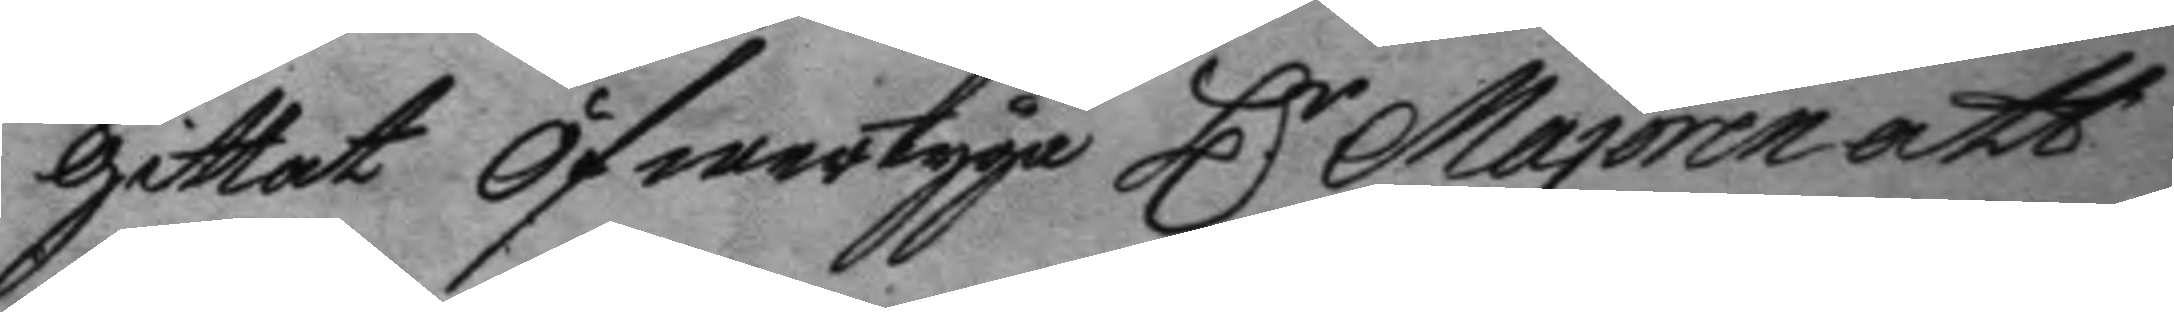gittat Öfwertyga H.r Majoren att 
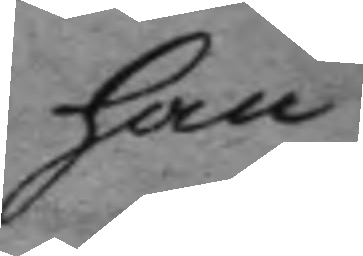han
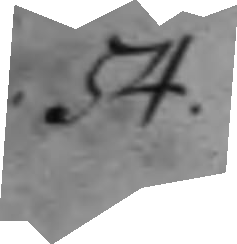54.
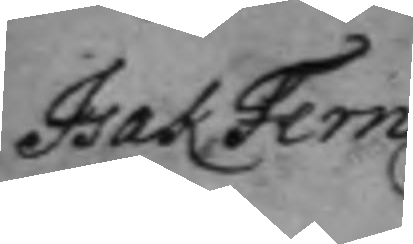Isak Fern¬
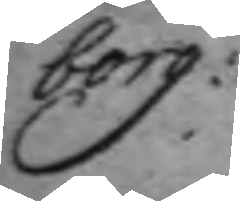borg
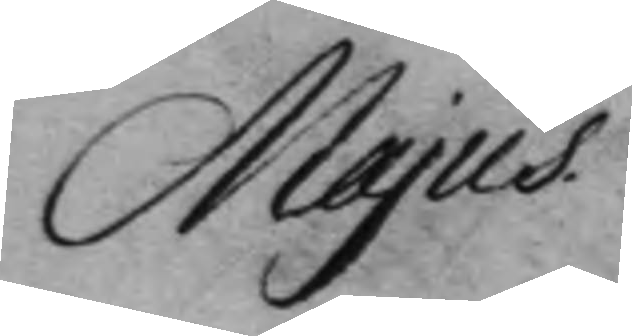Majus
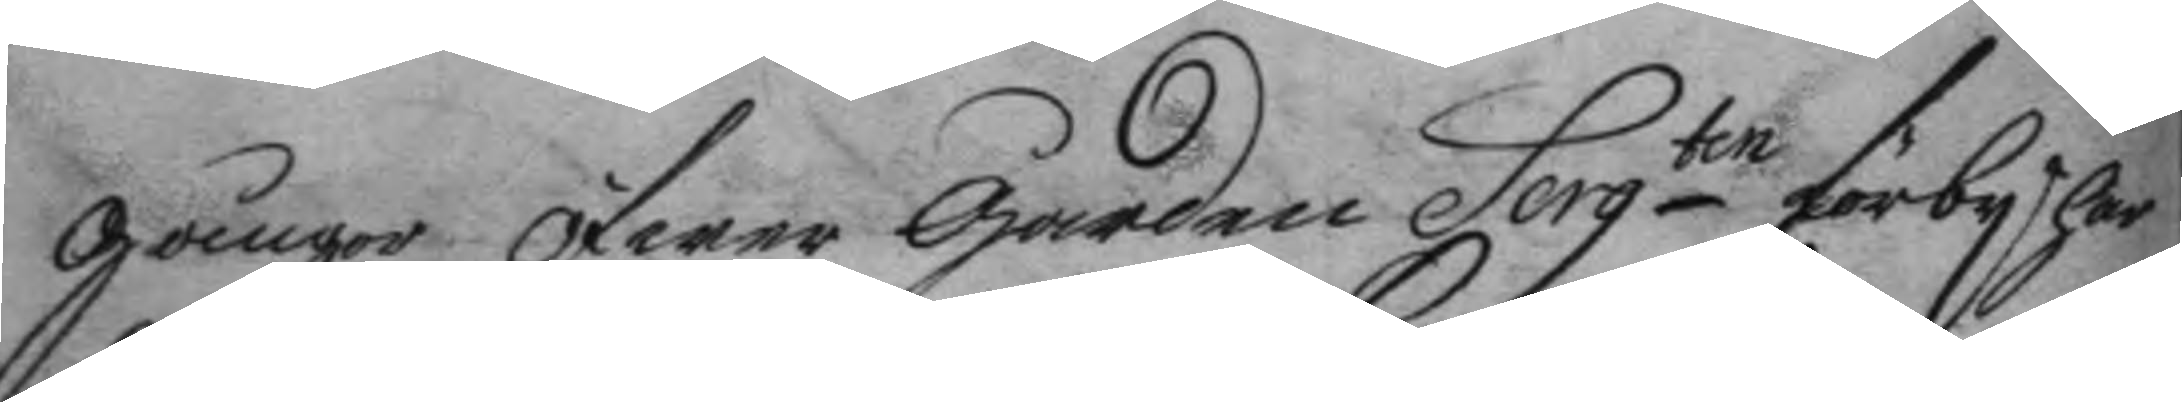gånger öfwer garden Sergten förby har
